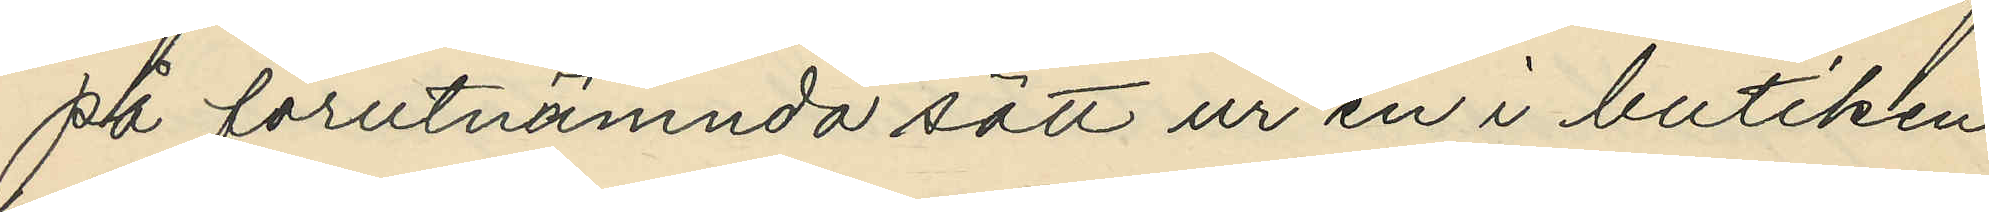på förutnämnda sätt ur en i butiken
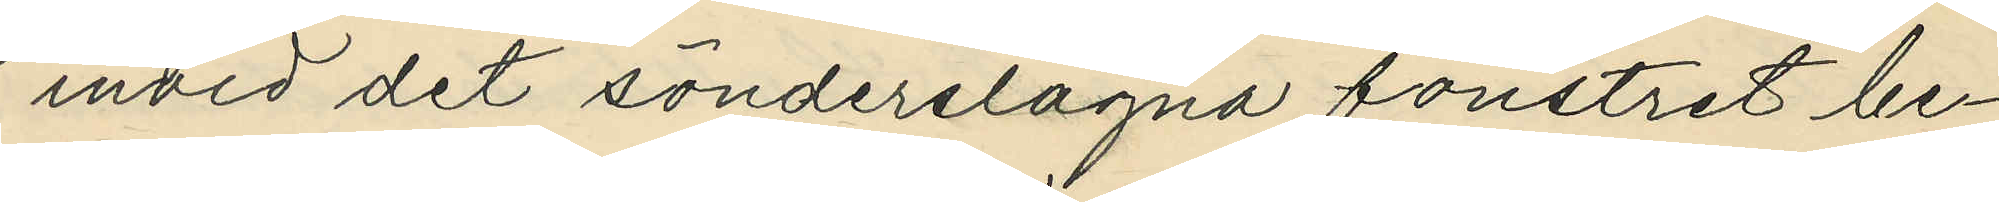invid det sönderslagna fönstret be¬
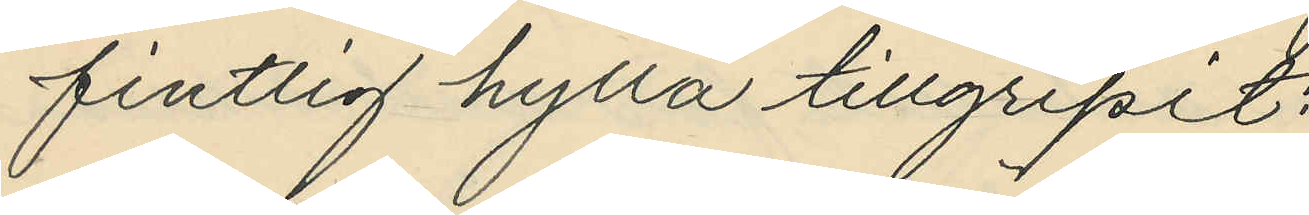fintlig hylla tillgripit:
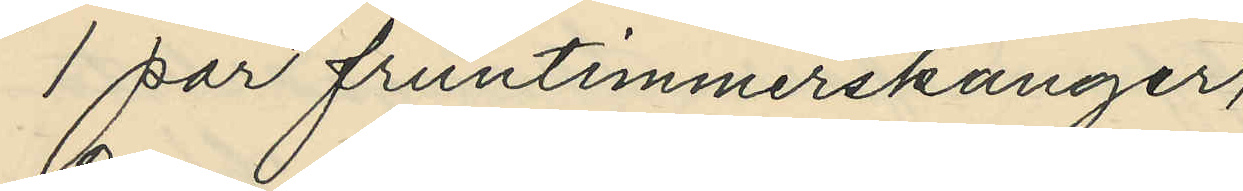1 par fruntimmerskänger,
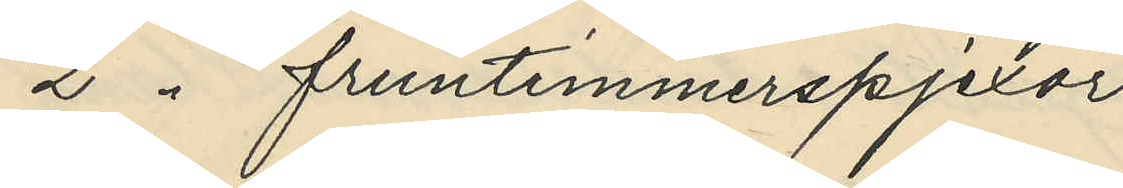2 " fruntimmerspjexor
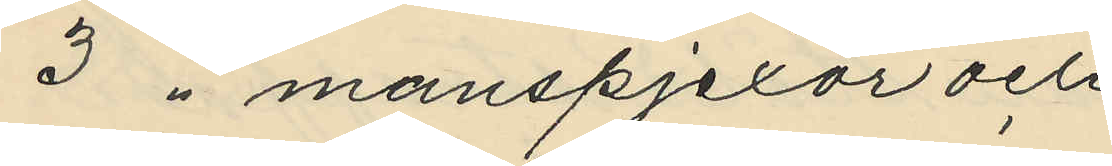3 " manspjexor och 
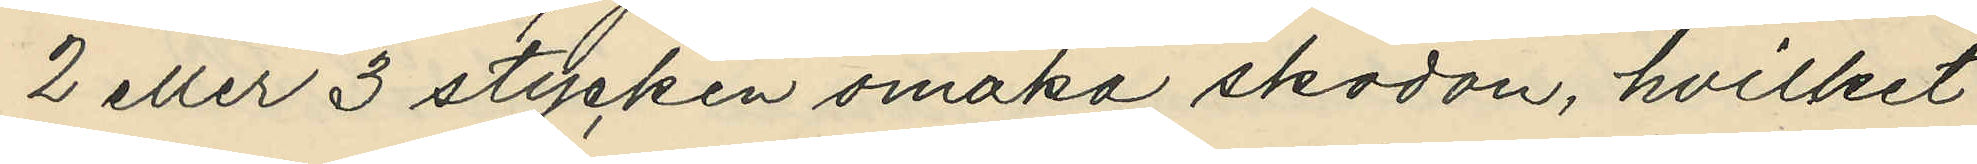2 eller 3 stycken omaka skodon, hvilket
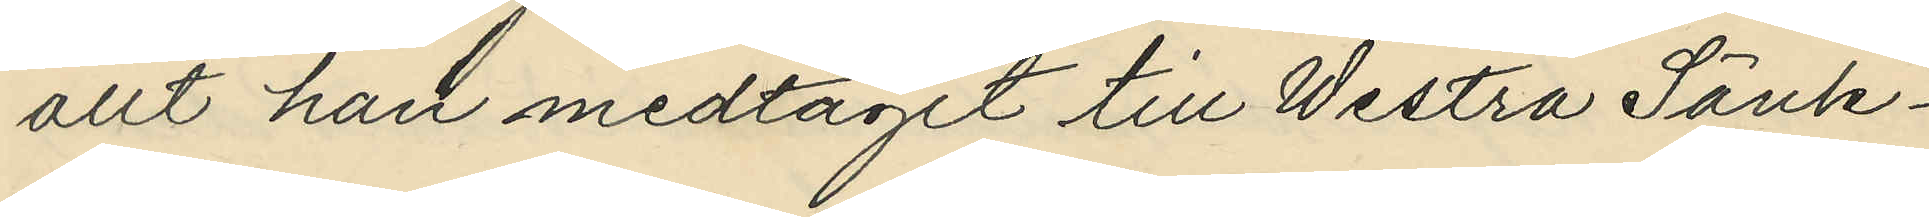allt han medtagit till Westra Sänk¬
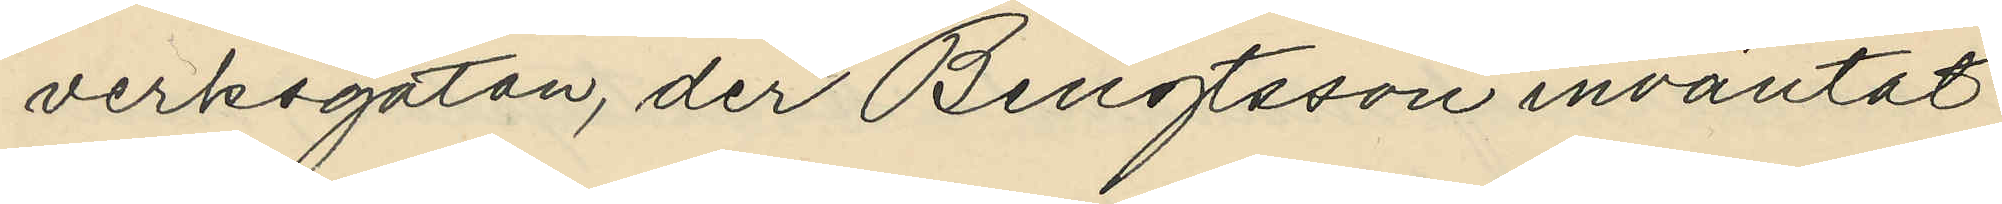verksgatan, der Bengtsson inväntat
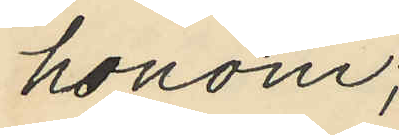honom;
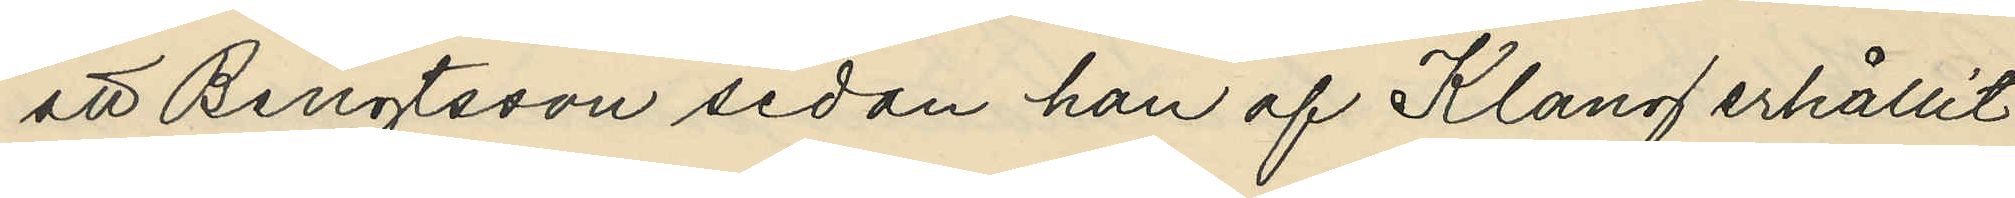att Bengtsson sedan han af Klang erhållit
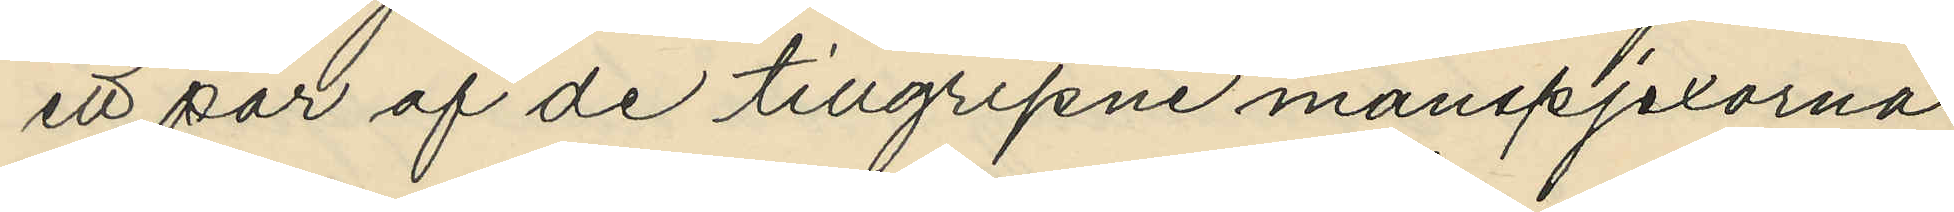ett par af de tillgripne manspjexorna
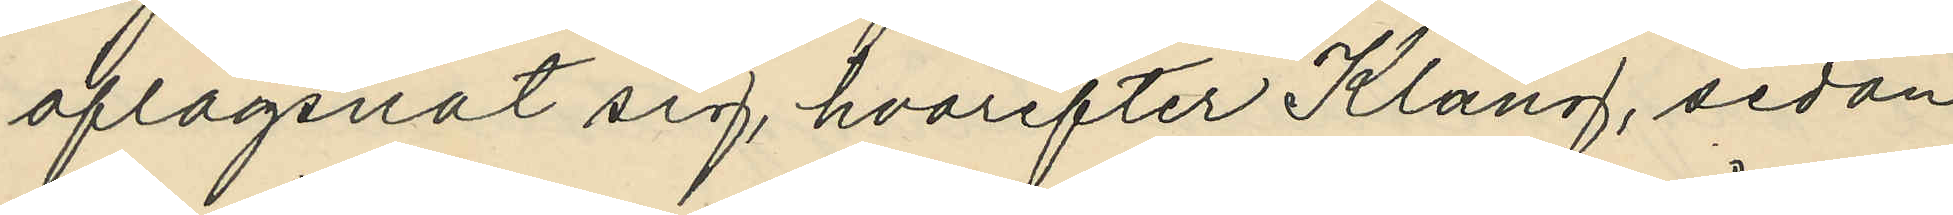aflägsnat sig, hvarefter Klang, sedan
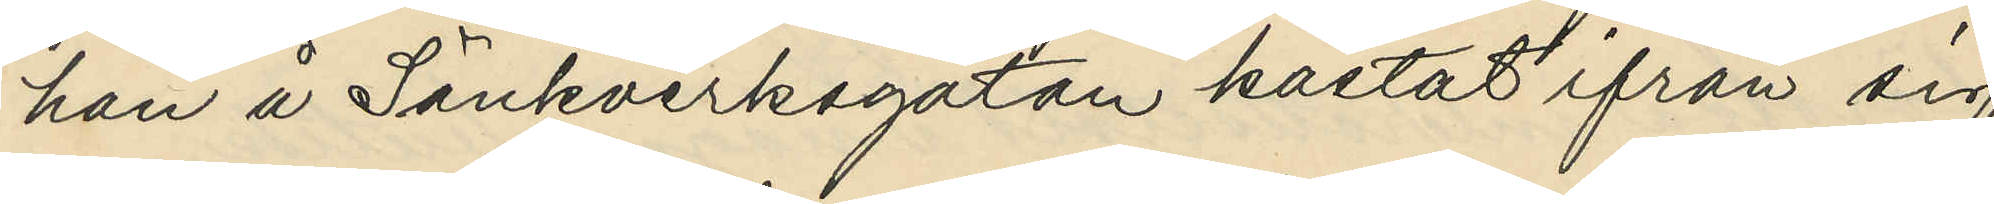han å Sänkverksgatan kastat ifrån sig
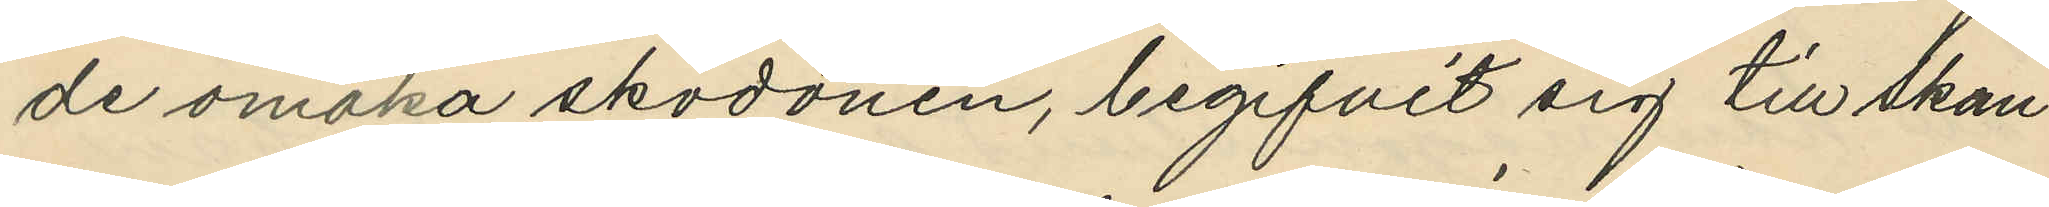de omaka skodonen, begifvit sig till Skan¬
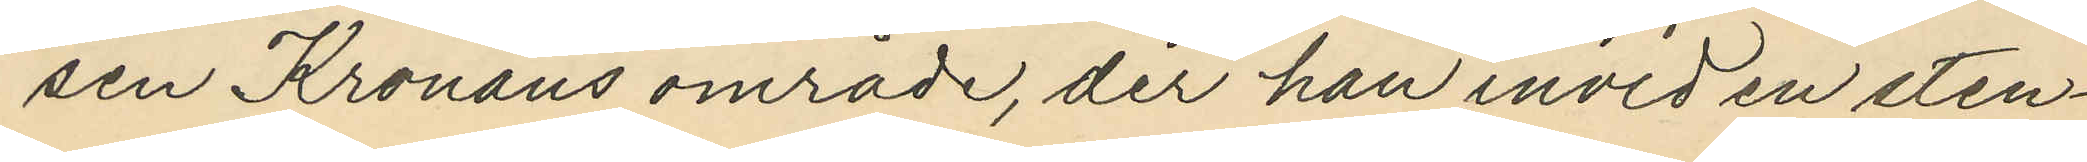sen Kronans område, der han invid en sten¬
